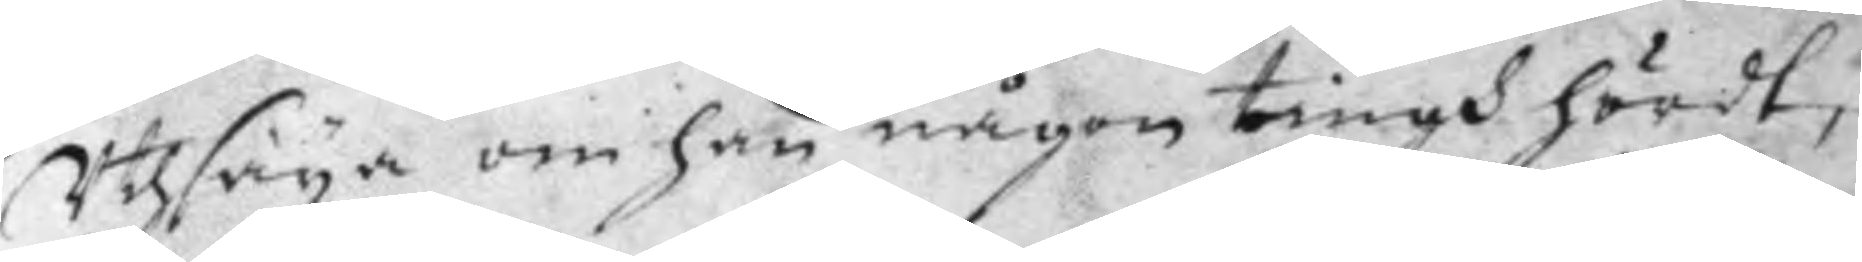Utsäya om han någon tingh hördt,
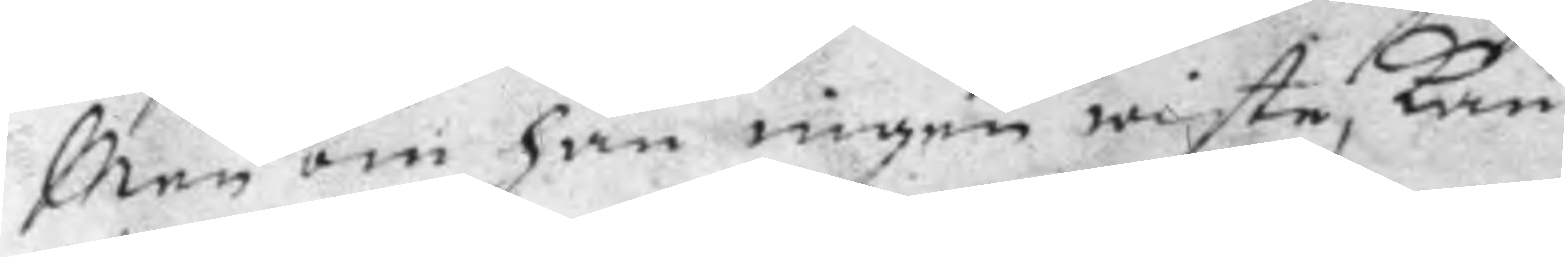Men om han ingen wiste, kan
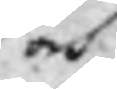och
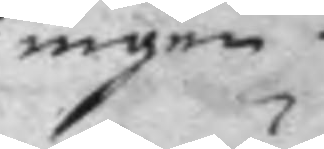ingen
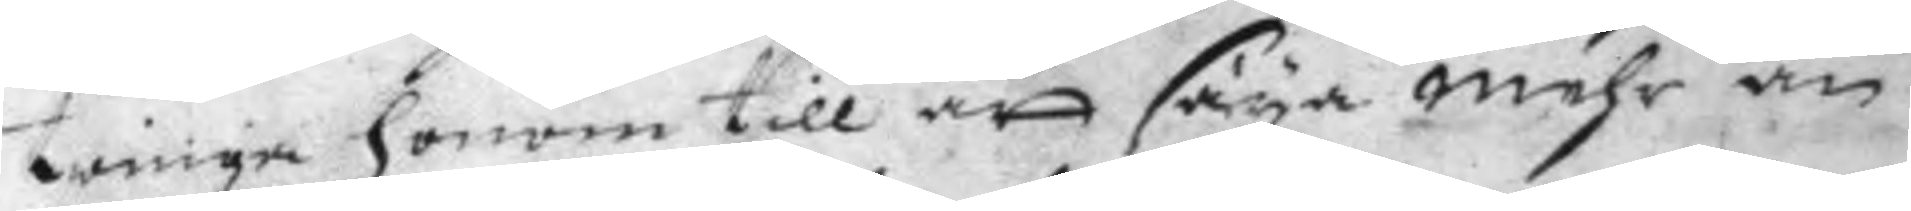twinga honom till att säya mehr än
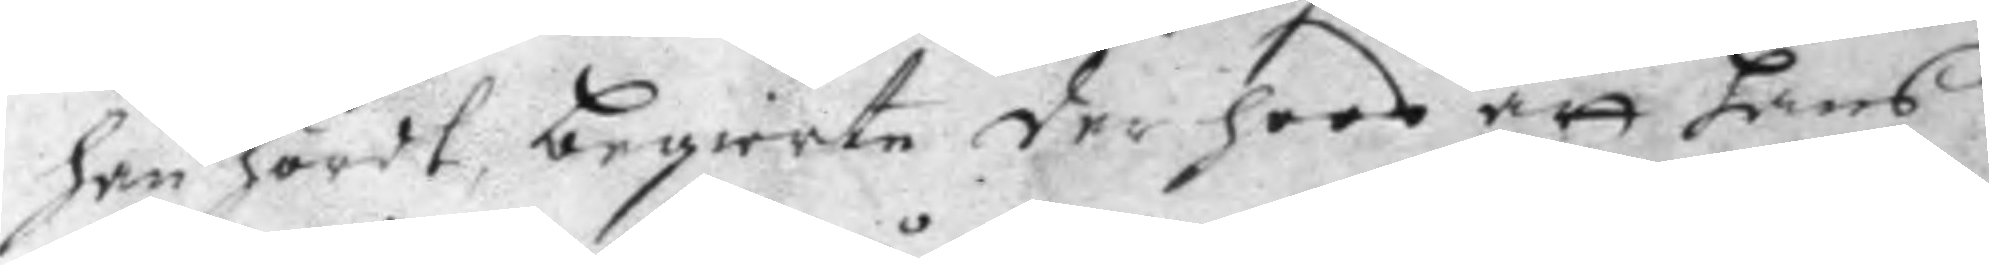han hördt, begiärte der hoos att hans
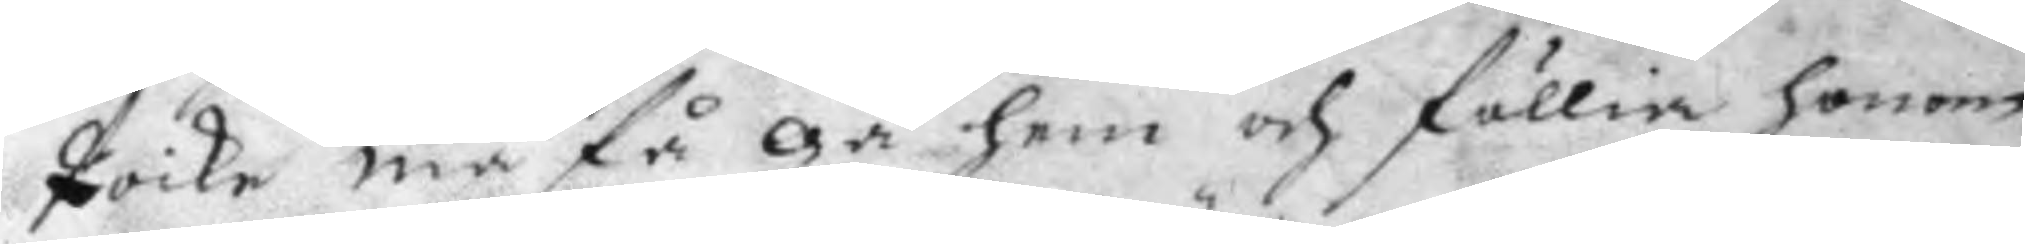Poike må få gå hem och föllia honom
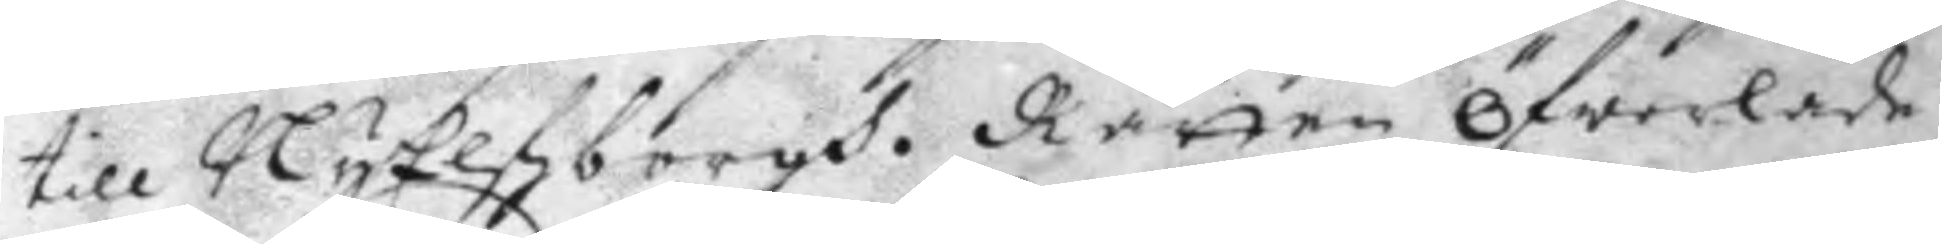till NyElfsborgh. Rätten öfwerlade
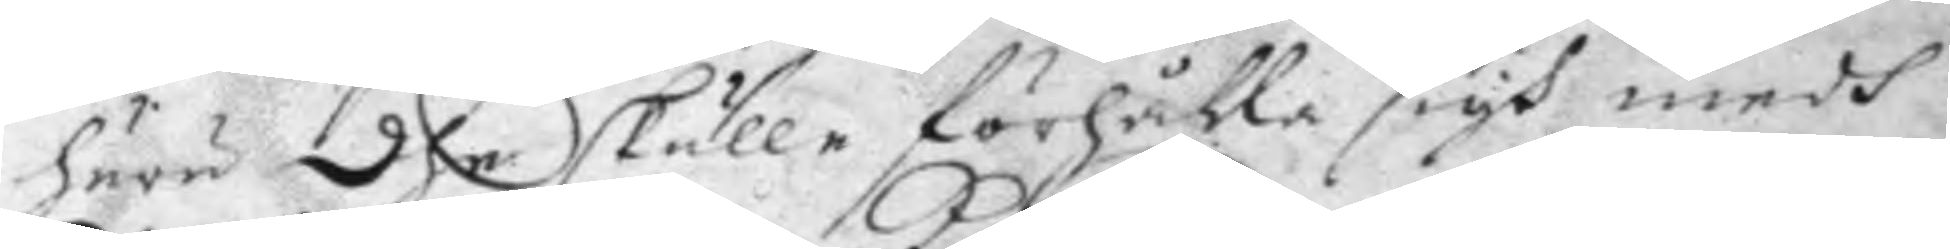huru dhe skulle förhålla sigh medh
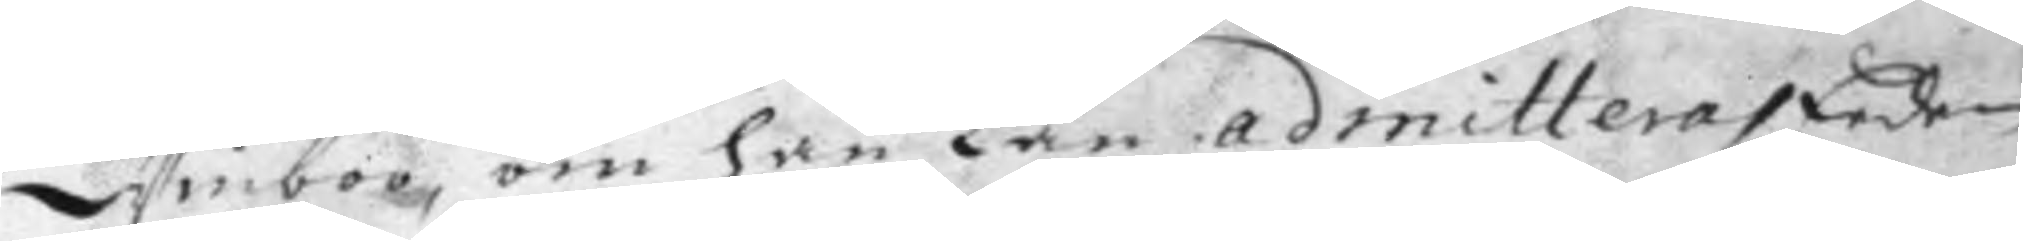Winboo, om han Kan admitteras Eeden
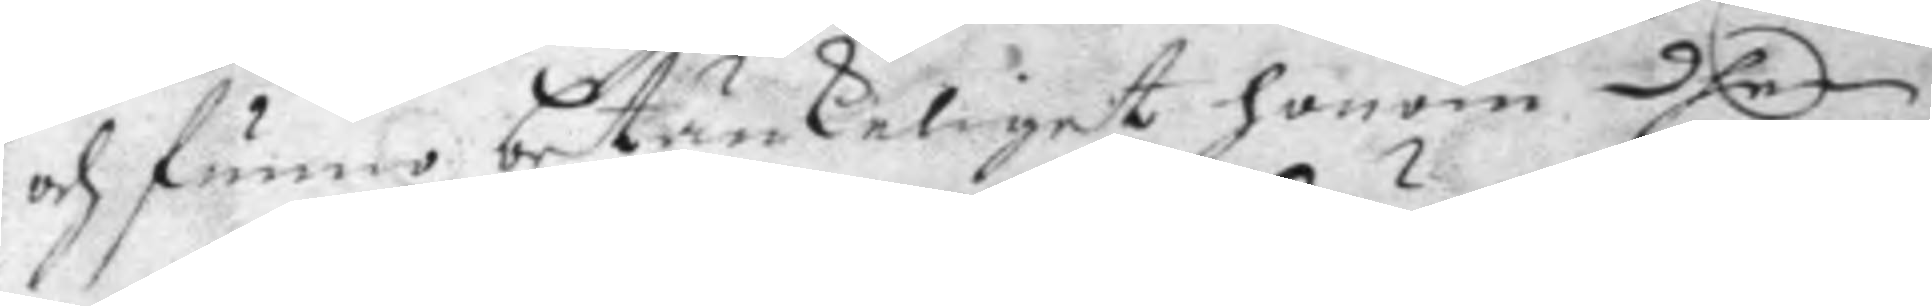och funno betänkeliget honom dhen
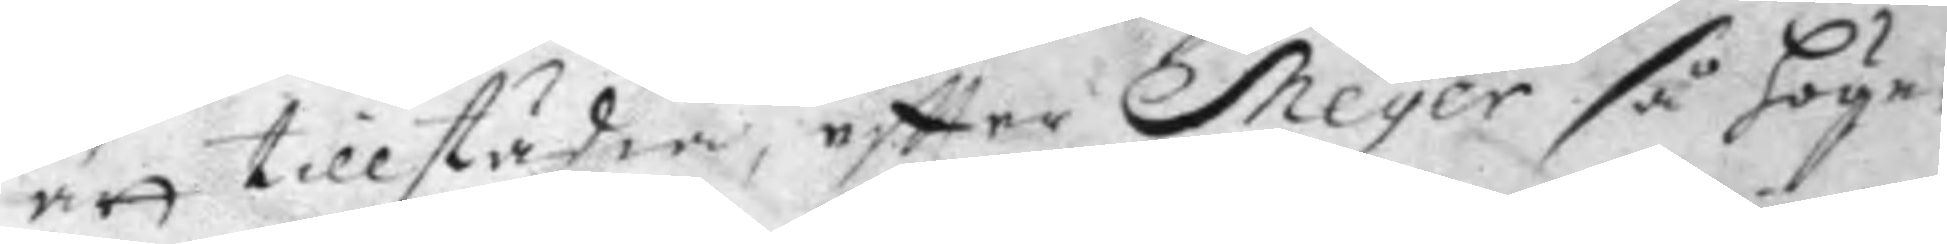att tillstädia, eftter Meyer så Höge¬
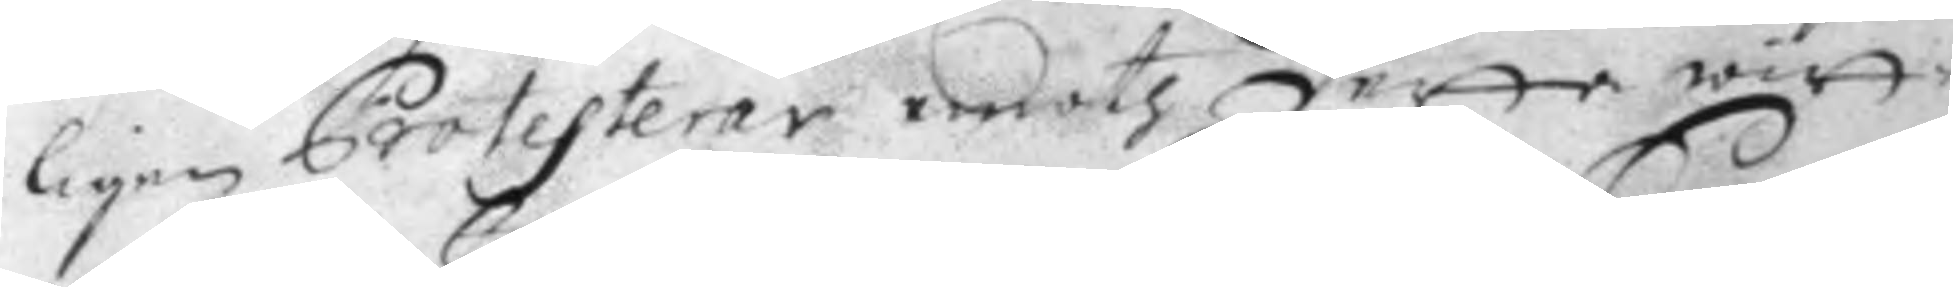ligen Protesterar emoth detta witt¬
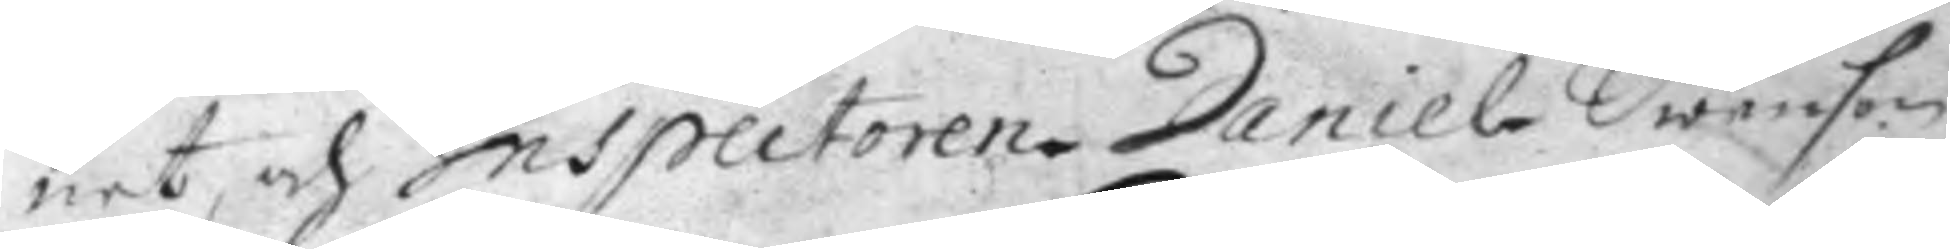net, och Inspectoren Daniel Swenson
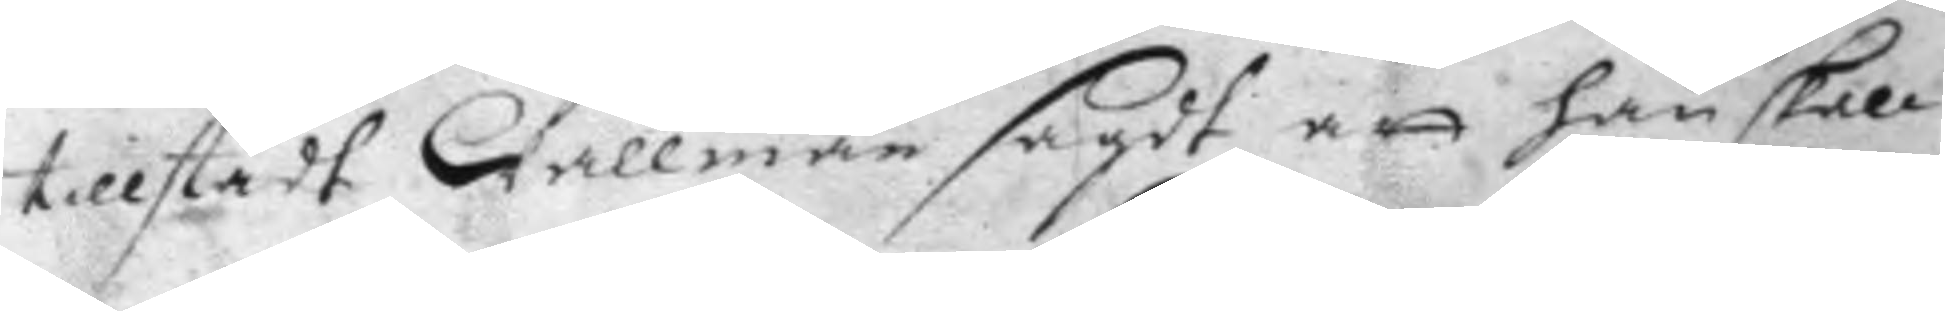tillstådt Wallman sagdt att han skall
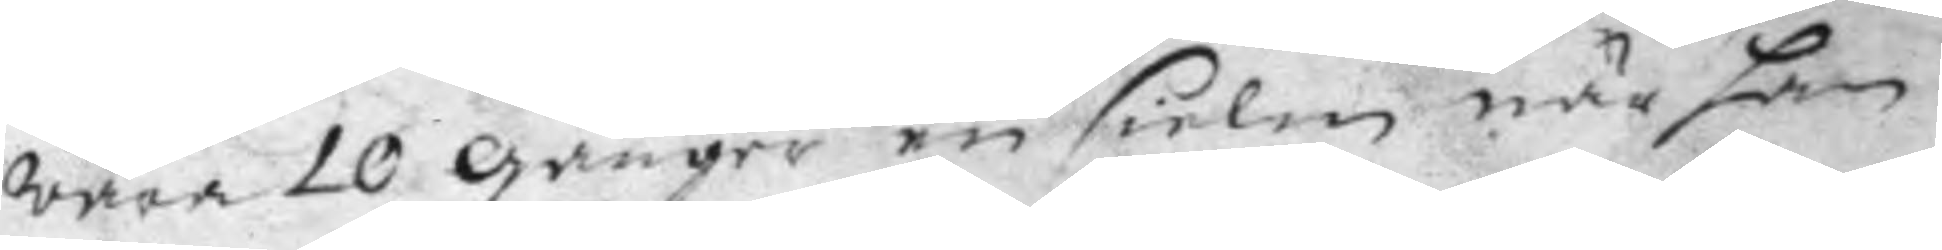wara 10 Gånger en sielm när han
